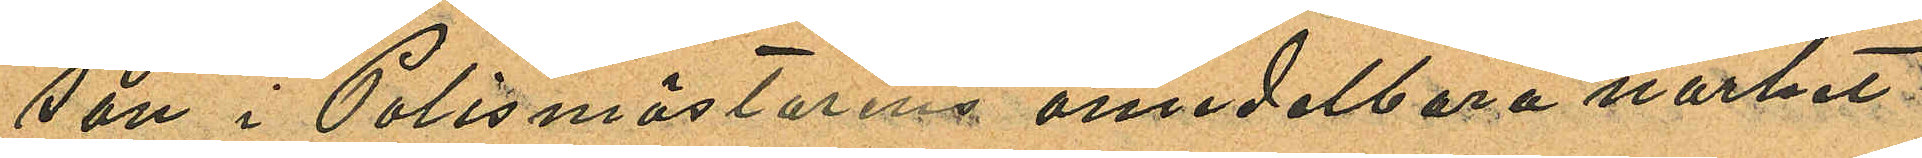son i Polismästarens omedelbara närhet
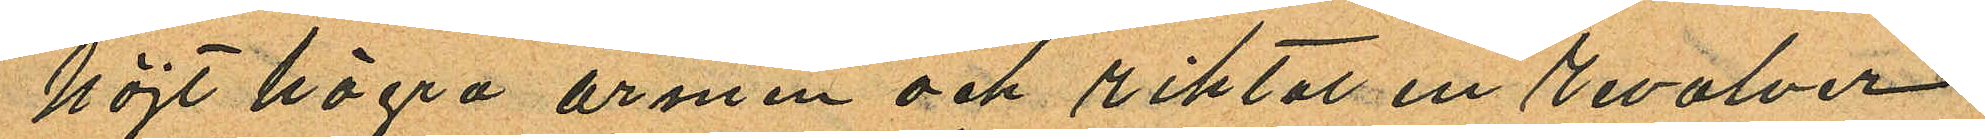höjt högra armen och riktat en revolver
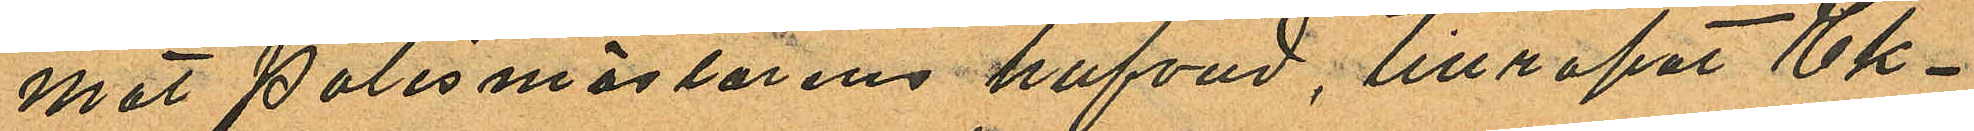mot polismästarens hufvud, tillropat Ek¬
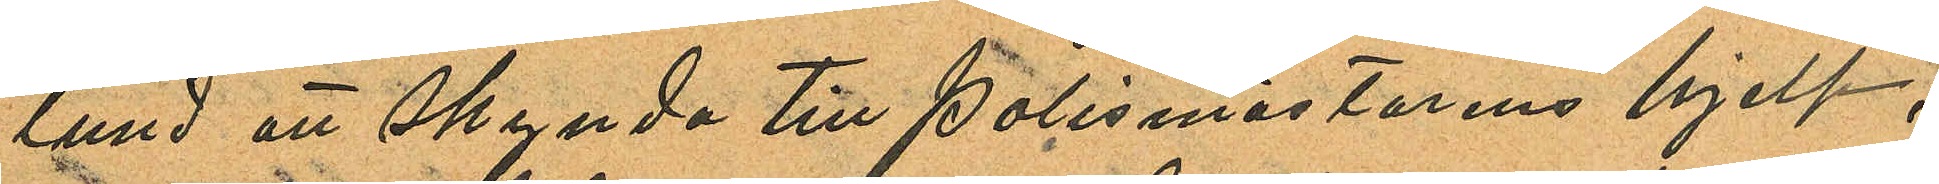lund att skynda till polismästarens hjelp;
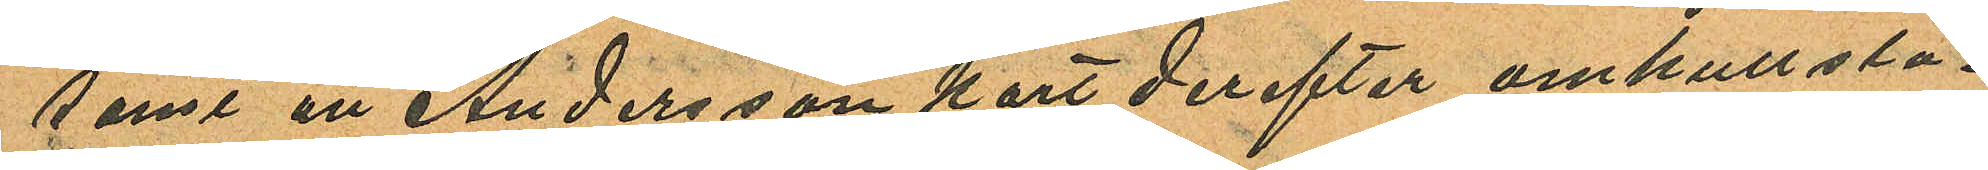samt att Andersson kort derefter omkullsla¬
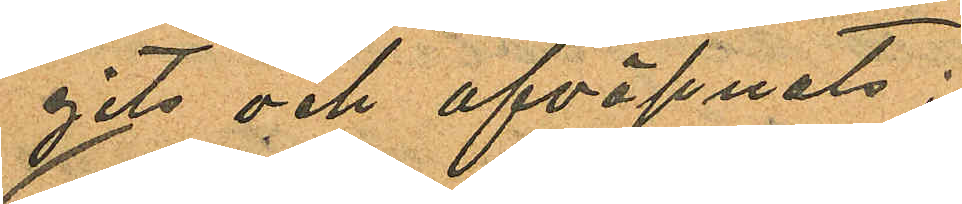gits och afväpnats;
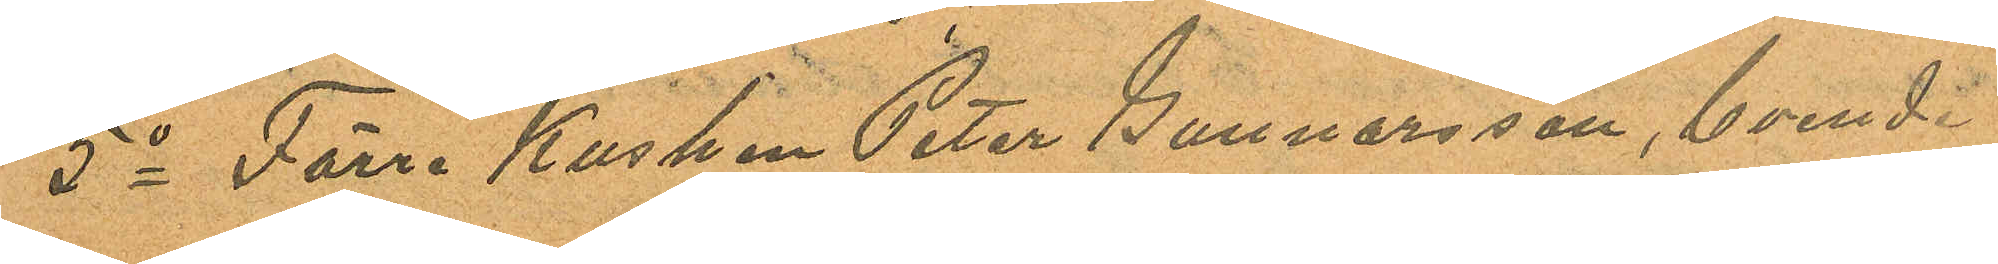5o Förre Kusken Peter Gunnarsson, boende
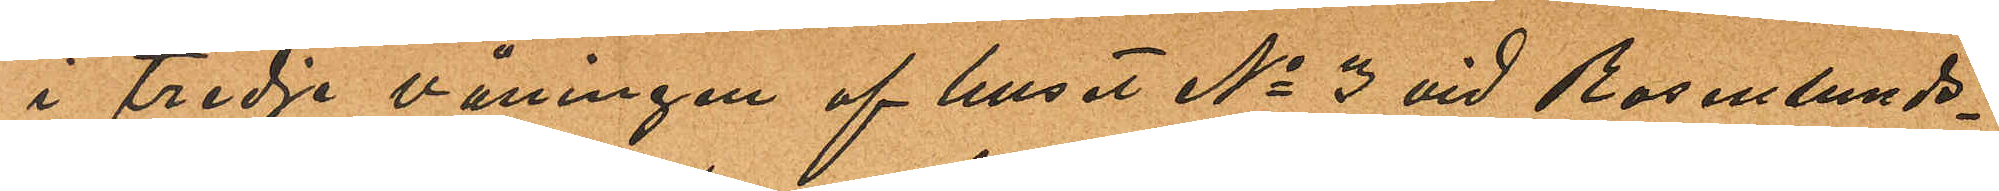i tredje våningen af huset No 3 vid Rosenlunds¬
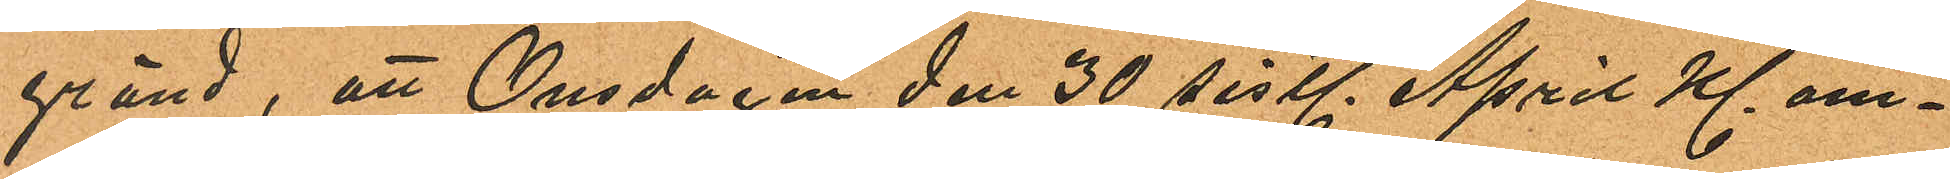gränd; att Onsdagen den 30 sistl. April kl. om¬
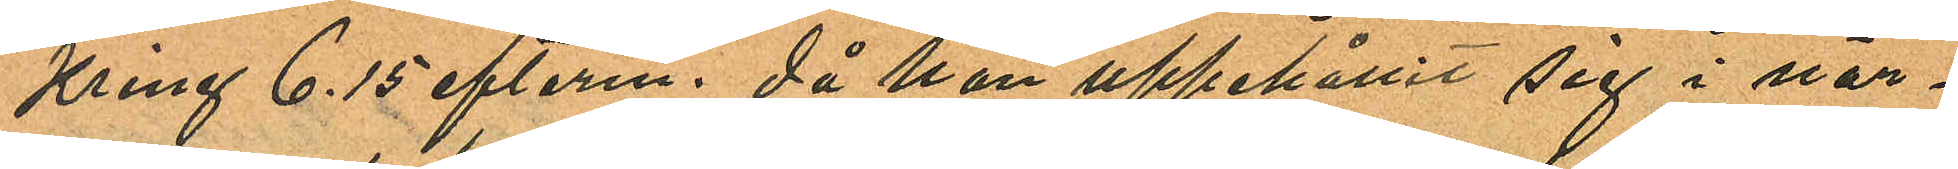kring 6.15 efterm. då han uppehållit sig i när¬
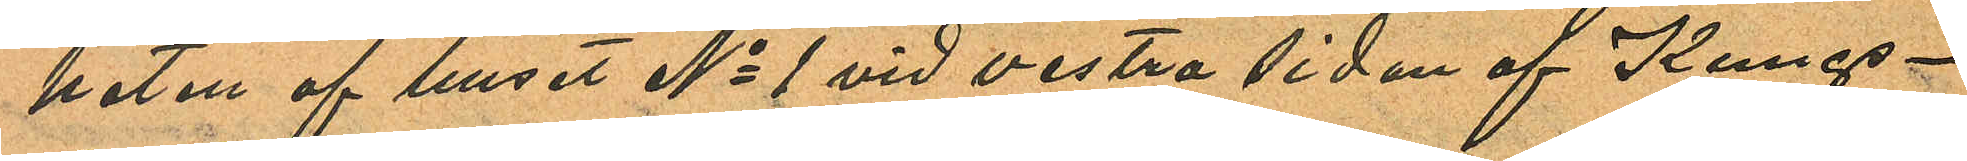heten af huset No 1 vid vestra sidan af Kungs¬
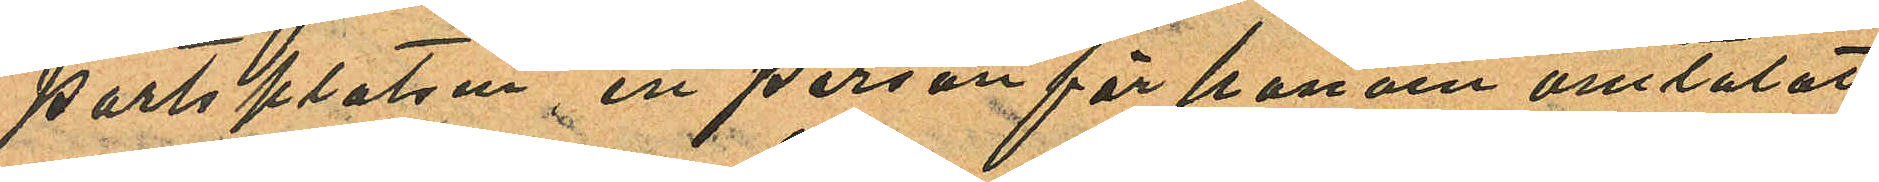portsplatsen, en person för honom omtalat
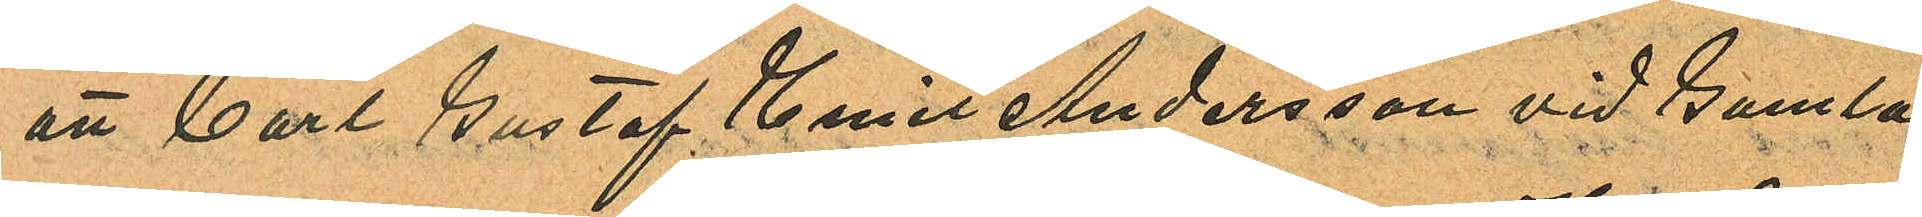att Carl Gustaf Emil Andersson vid Gamla
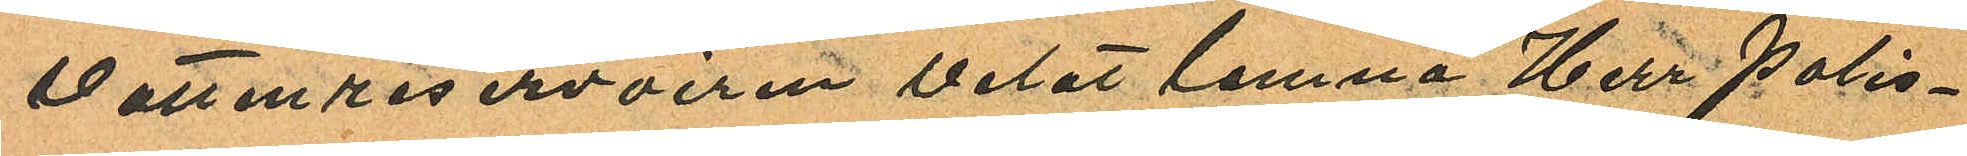vattenreservoiren velat lemna Herr polis¬
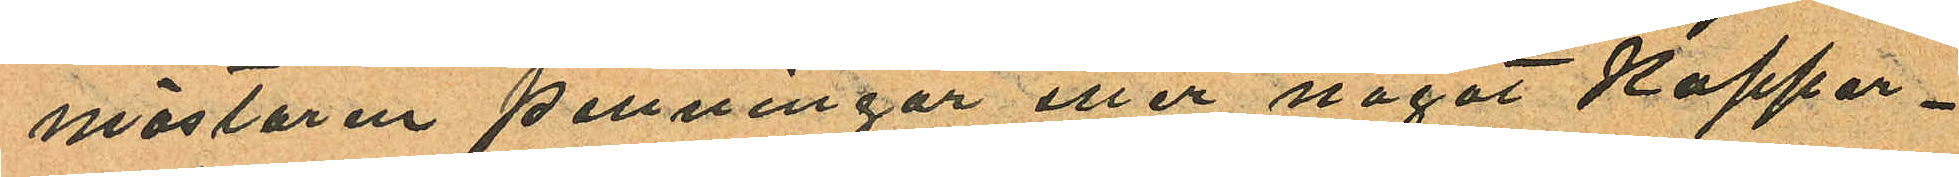mästaren penningar eller något koppar¬
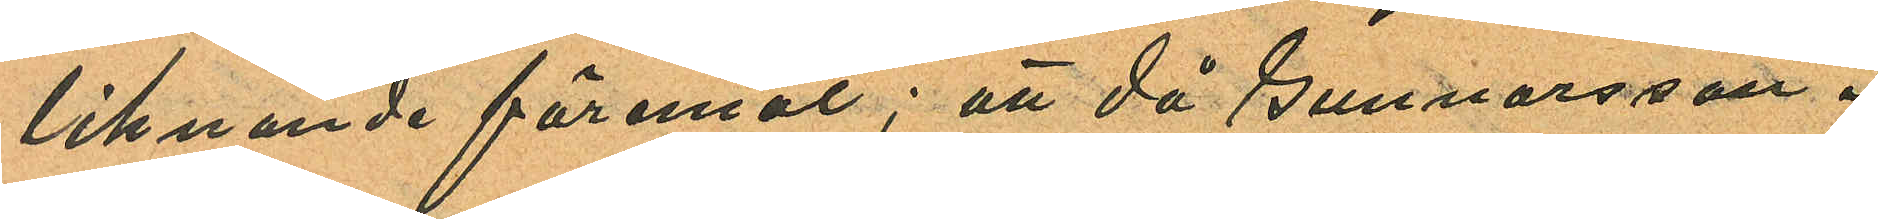liknande föremål; att då Gunnarsson i
